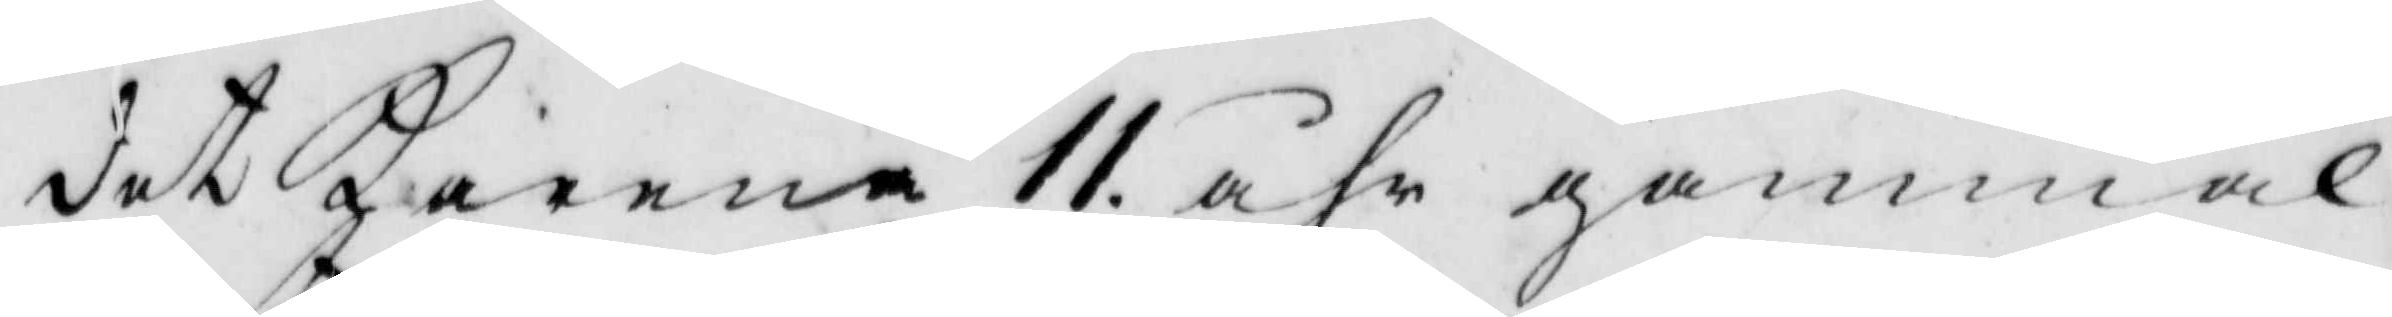det Karena 11 åhr gammal,
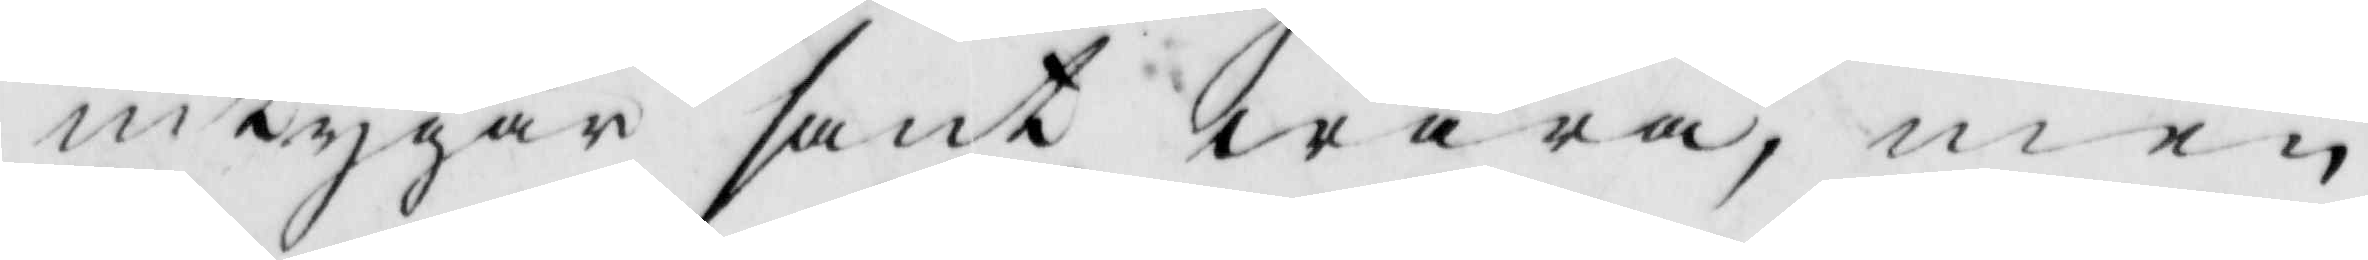intygar sant wara, men
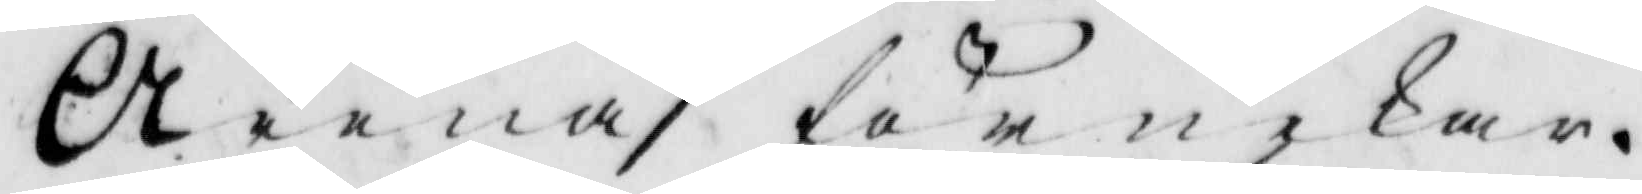Arena förnekar.
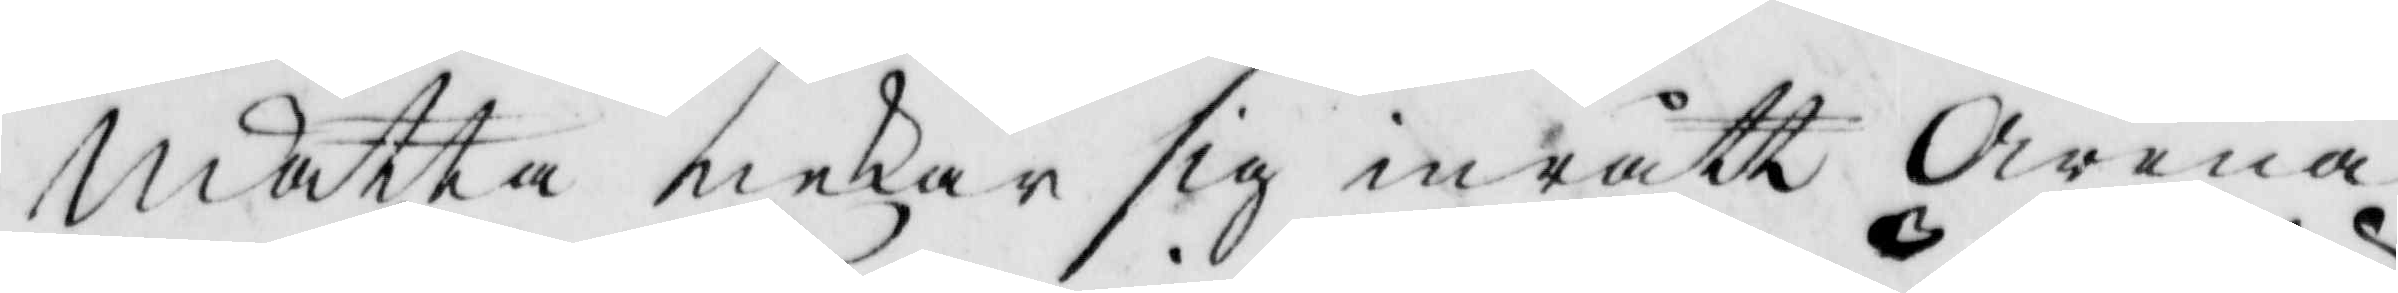Mätta nekar sig inrått Arena
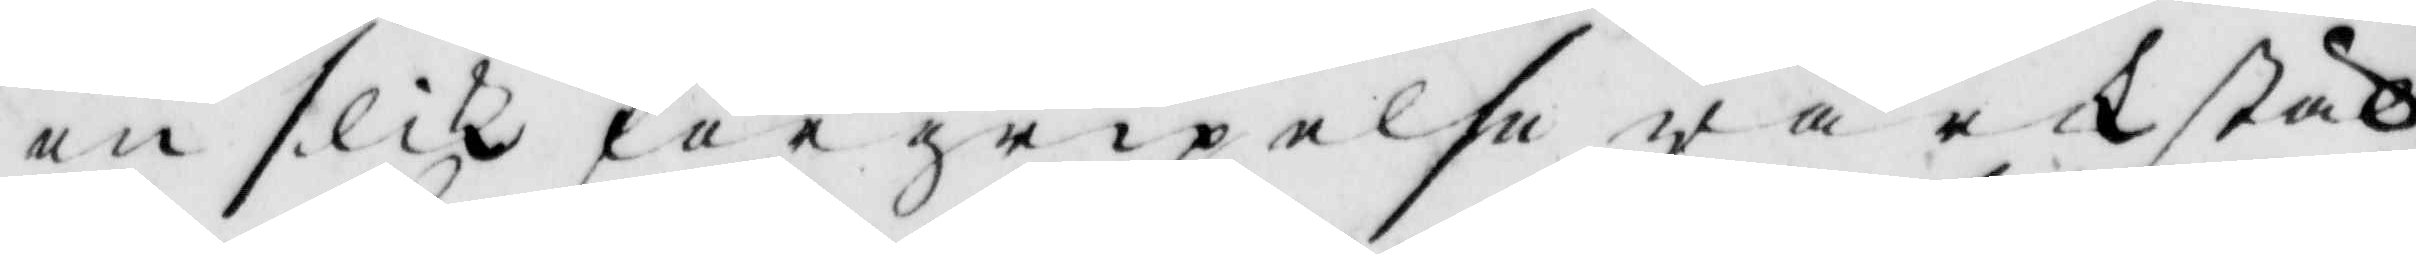en slik förgripelse wärkstäl¬
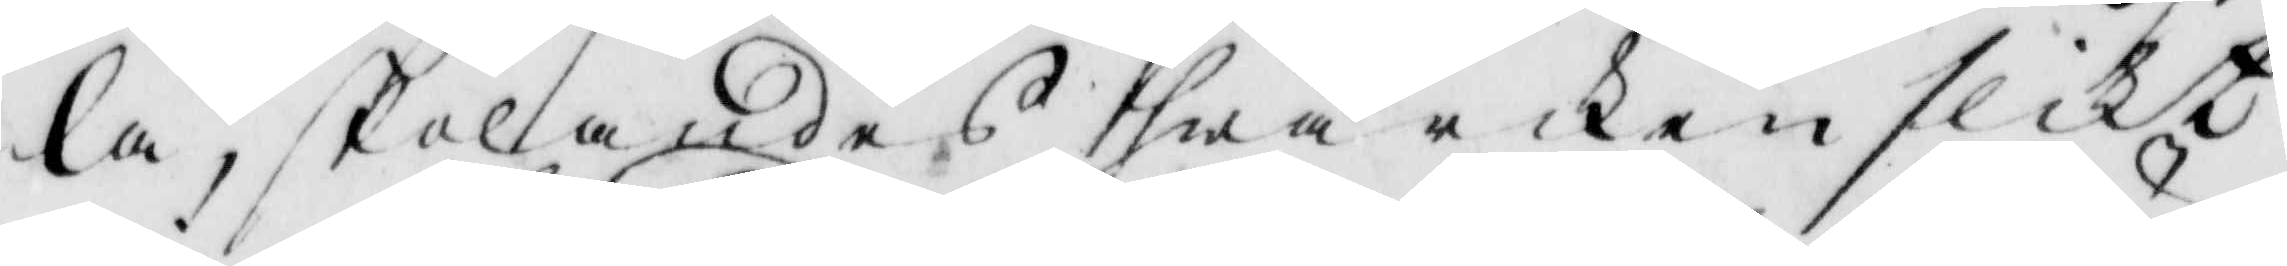la, skolandes hwarken slikt
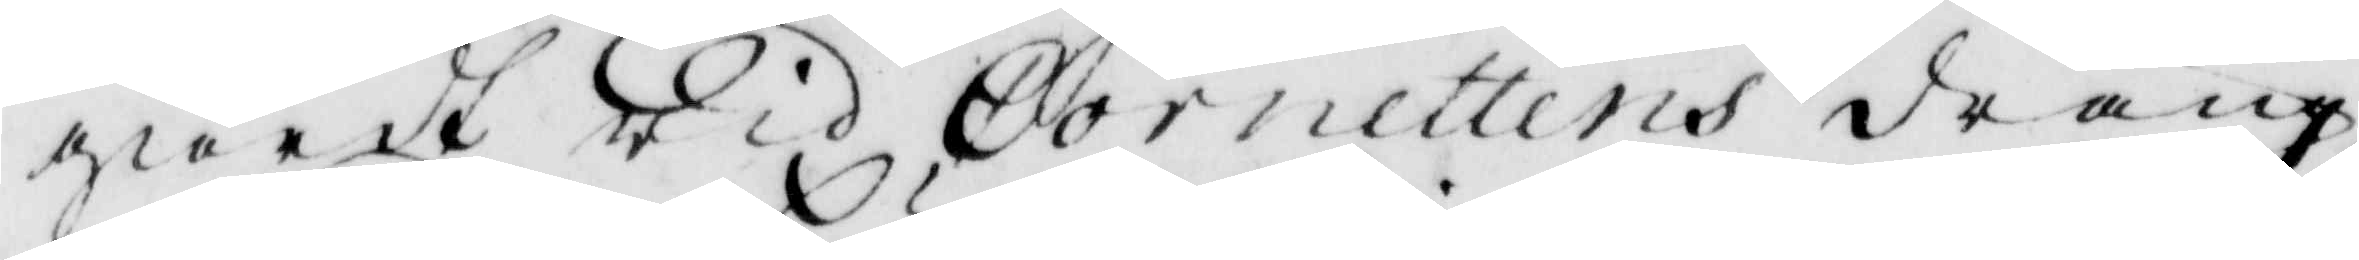giordt wid Cornettens dräng,
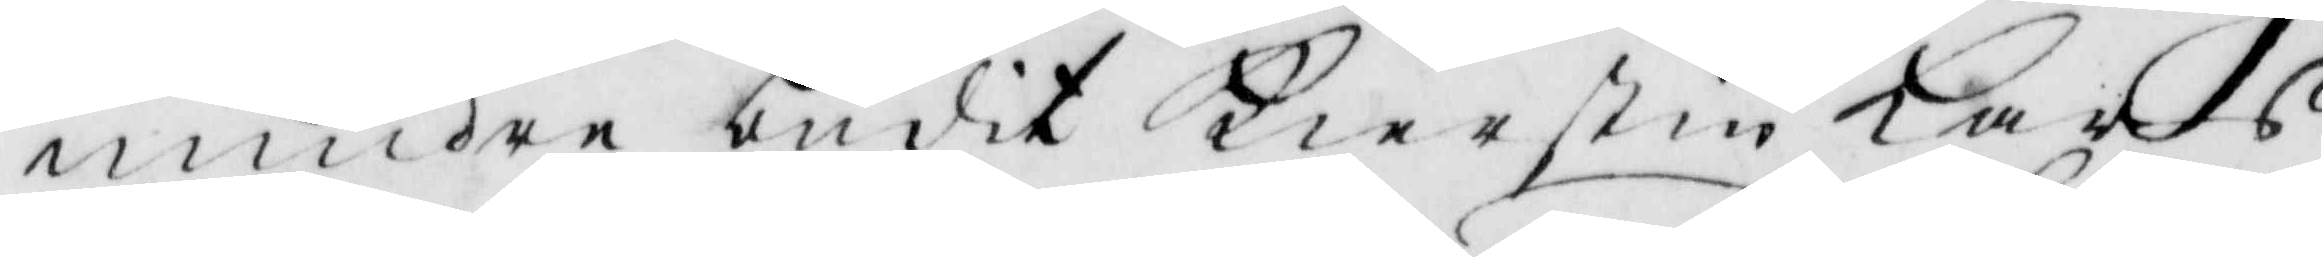mindre budit Kierstin Karls¬
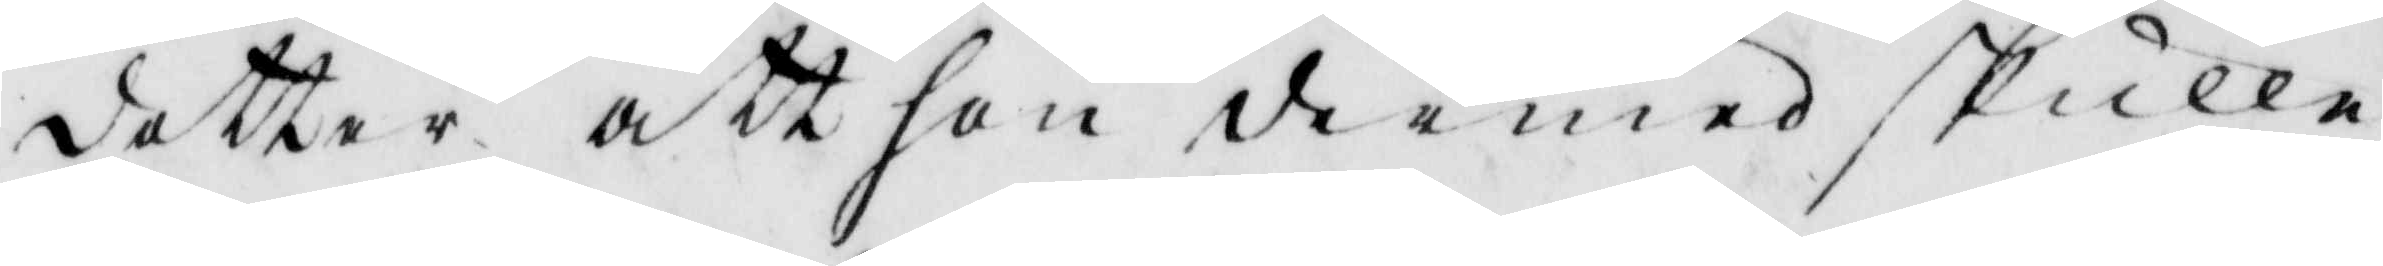dotter att hon dermed skulle
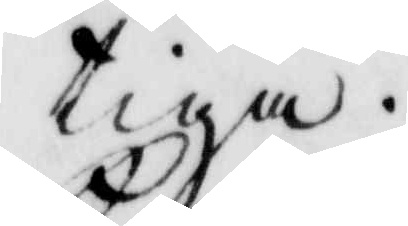tiga.
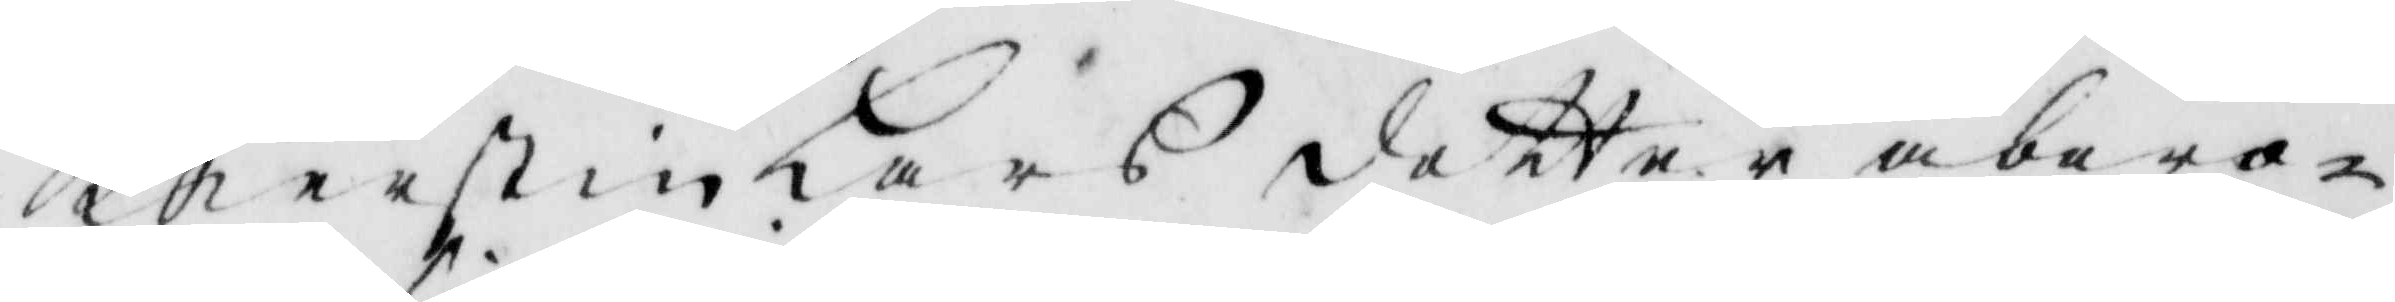Kierstin Lars dotter åbero¬
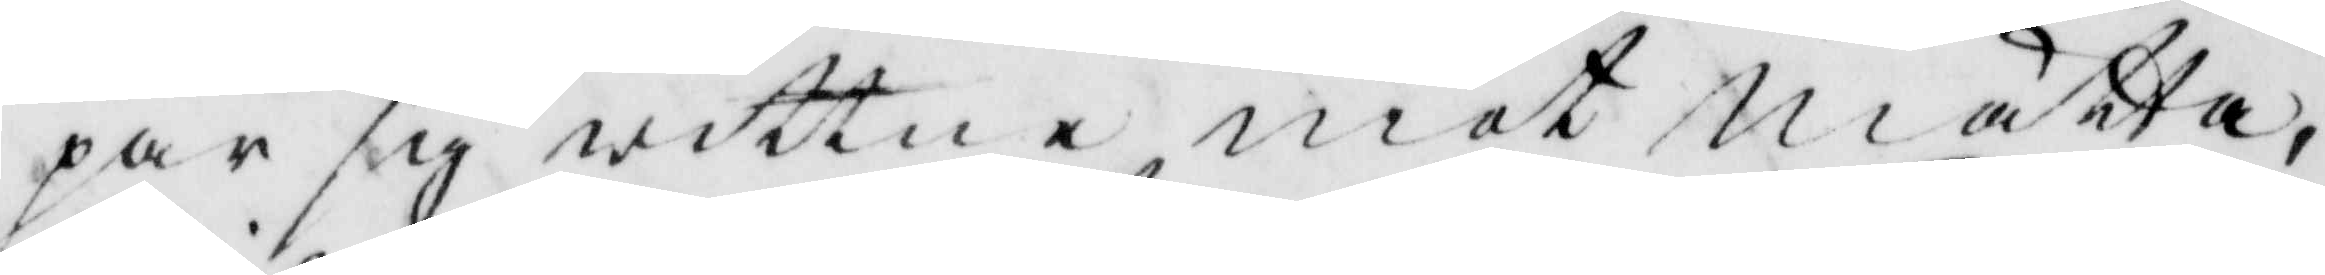par sig wittne mot Mätta
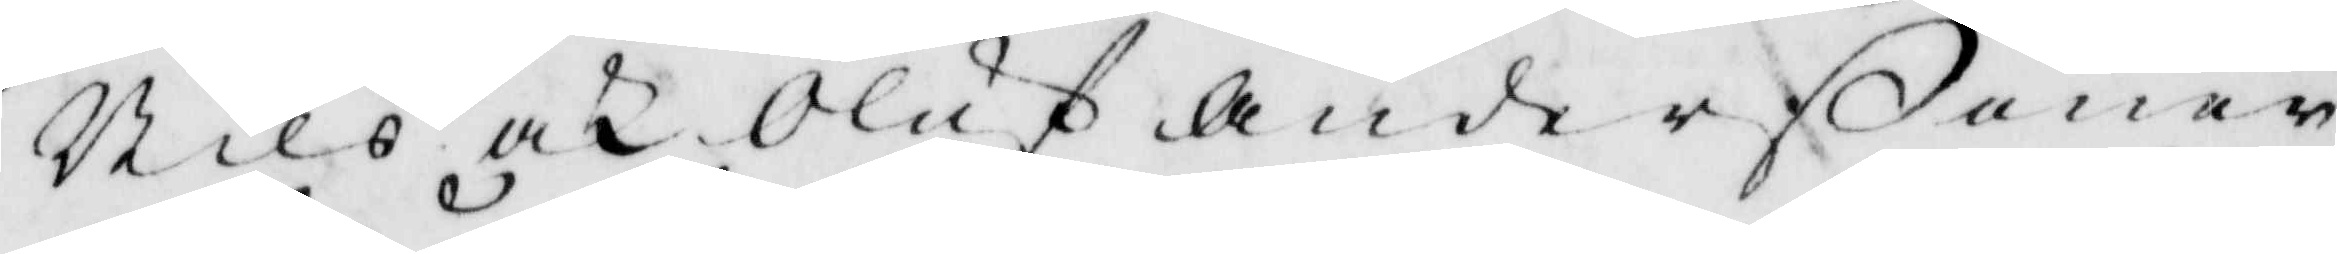Nils och Oluf Anderßöner
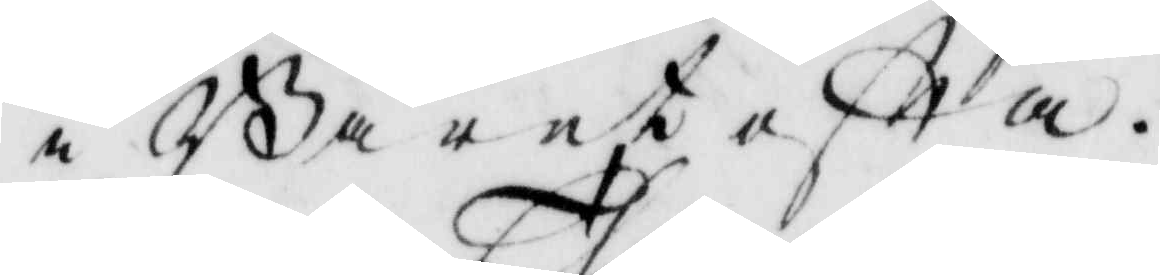i Gåretofta.
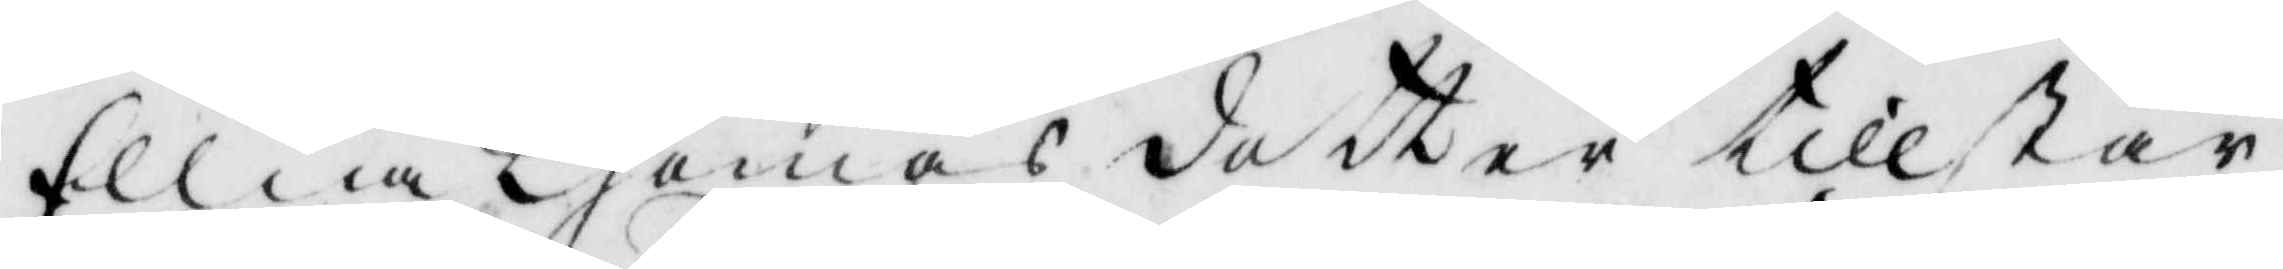Ellna Thomas doter tillstår
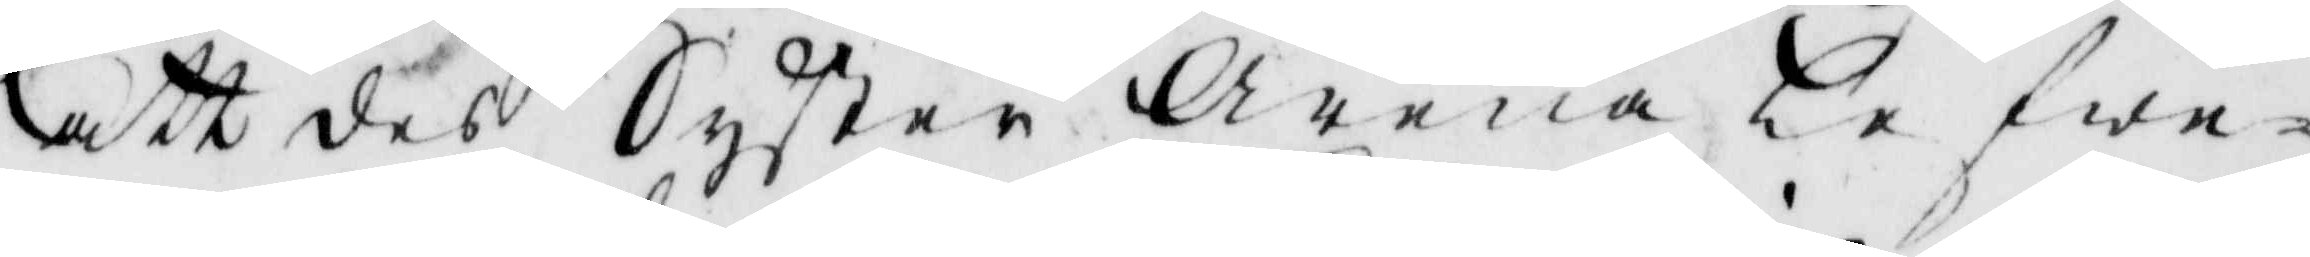att des Syster Arena lefwe¬
